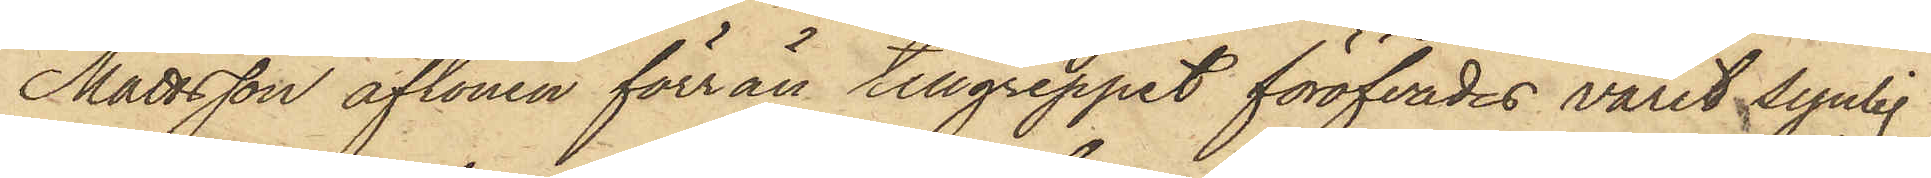Mattsson aftonen förrän tillgreppet föröfvades varit synlig
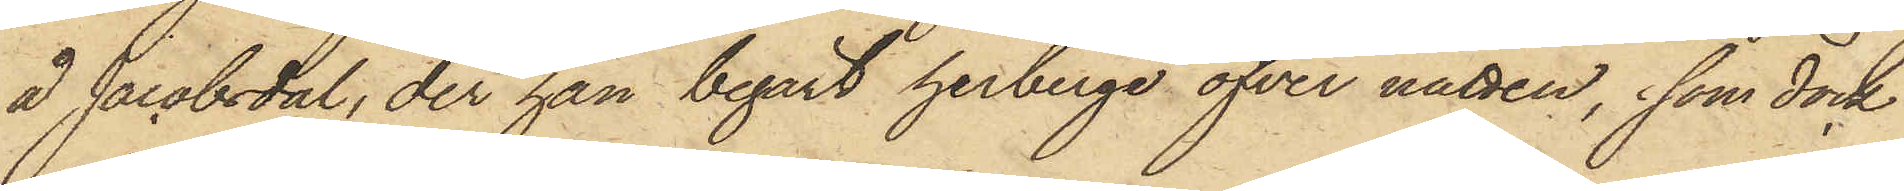å Jacobsdal, der han begärt herberge öfver natten, som dock
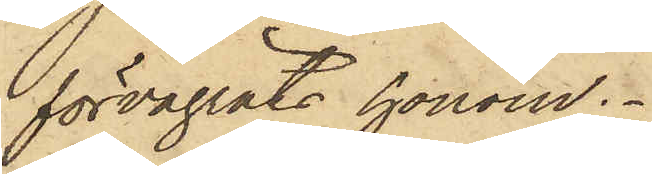förvägrats honom.
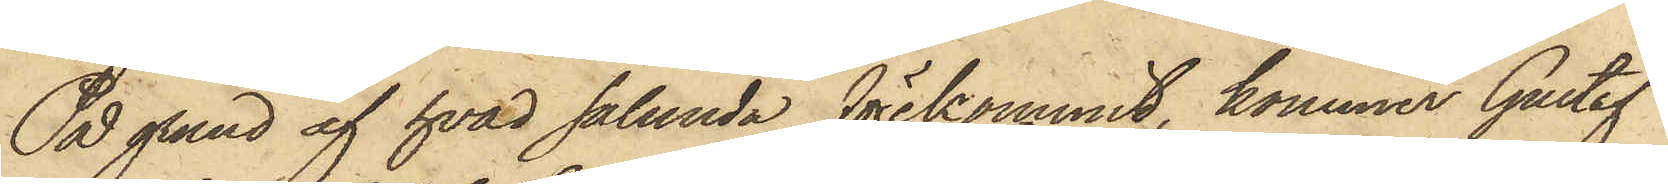På grund af hvad sålunda förekommit, kommer Gustaf
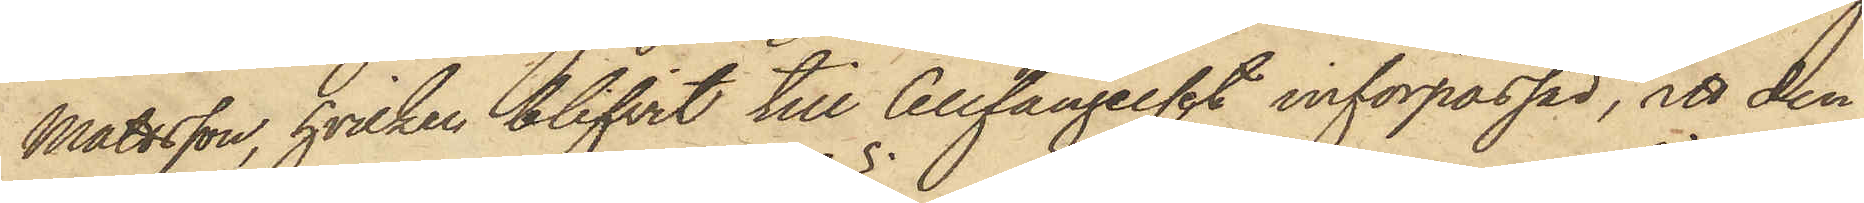Mattsson, hvilken blifvit till Cellfängelset införpassad, att den¬
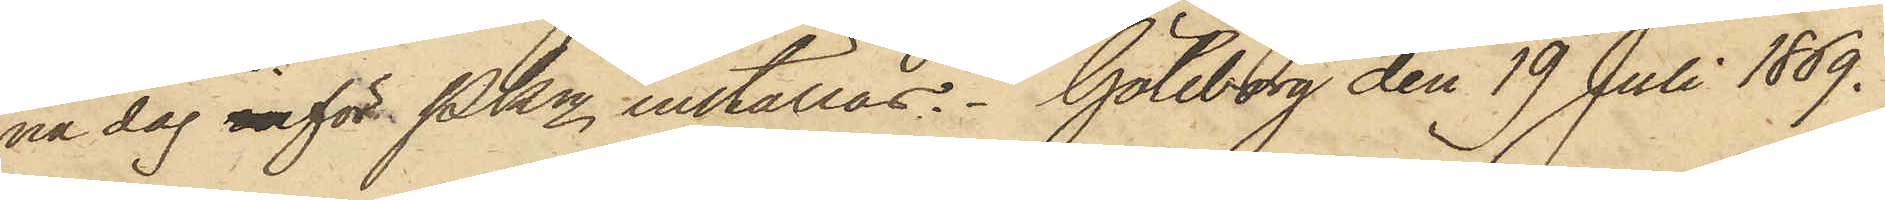na dag inför PKn inställas. Göteborg den 19 Juli 1869.
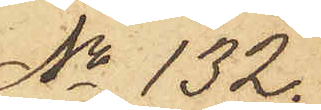No 132.
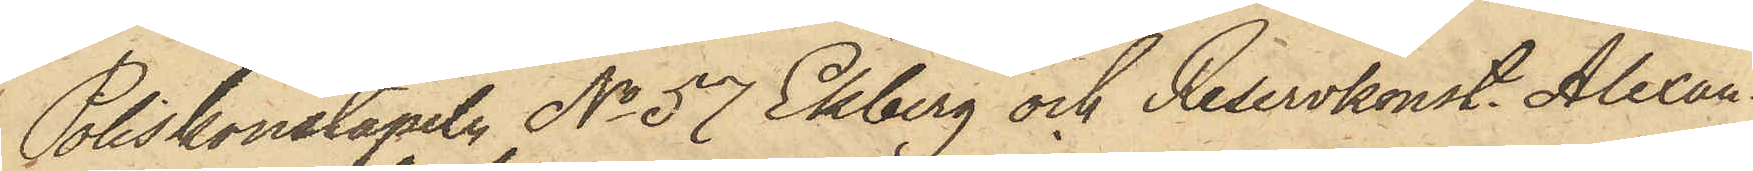Poliskonstapeln No 57 Ekberg och Reservkonst. Alexan¬
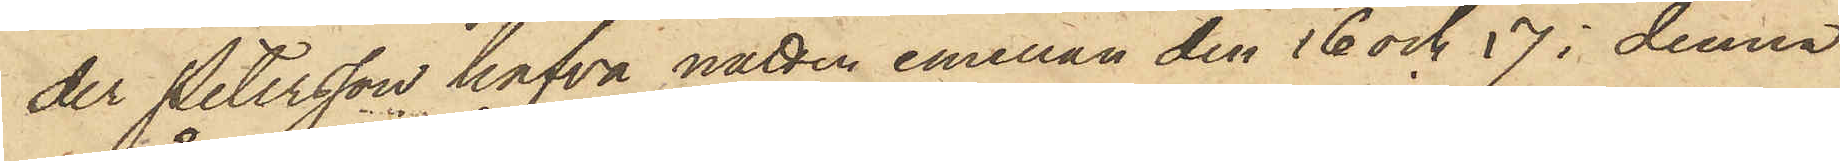der Petersson hafva natten emellan den 16 och 17 i denna
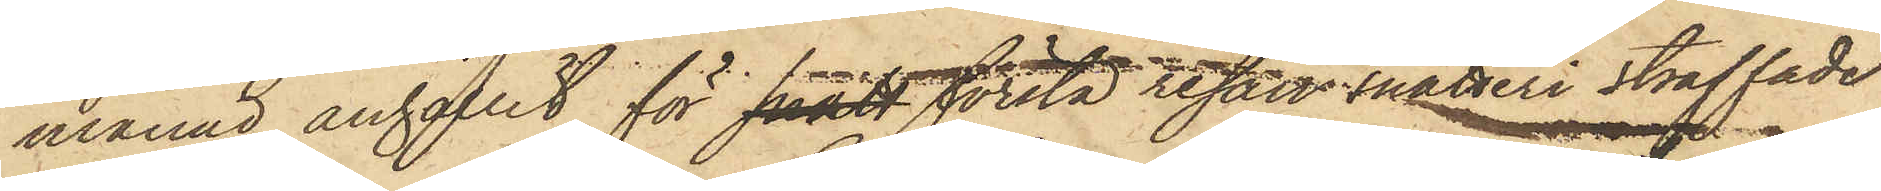månad anhållit för snatt första resan snatteri straffade
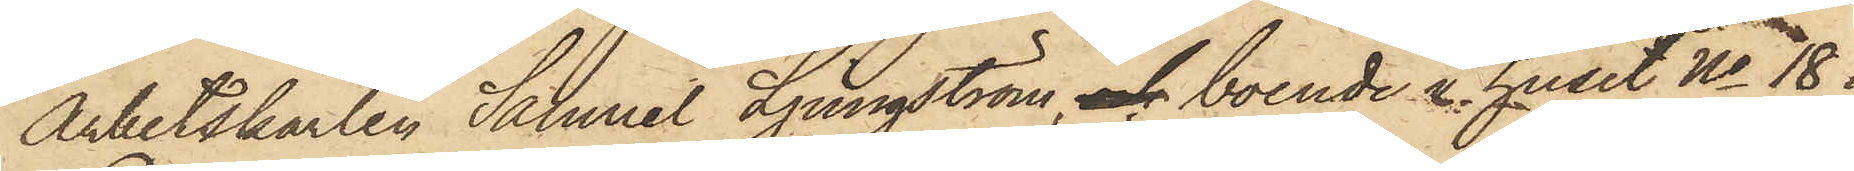Arbetskarlen Samuel Ljungström, och boende i huset No 18 i
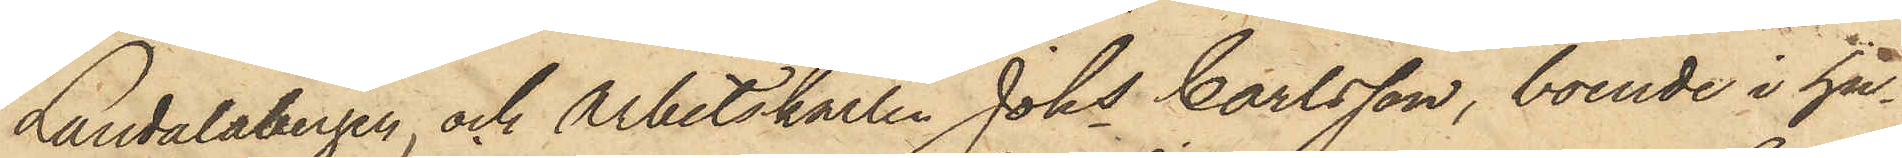Landalabergen, och Arbetskarlen Johs Carlsson, boende i hu¬
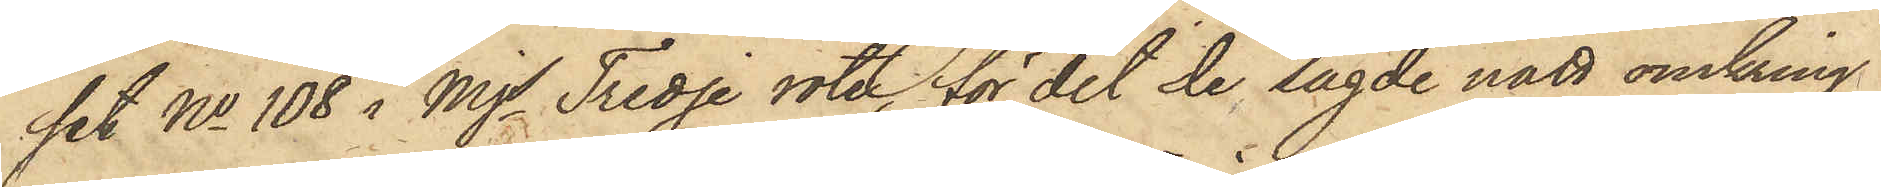set No 108 i Mjs Tredje rote, för det de sagde natt omkring
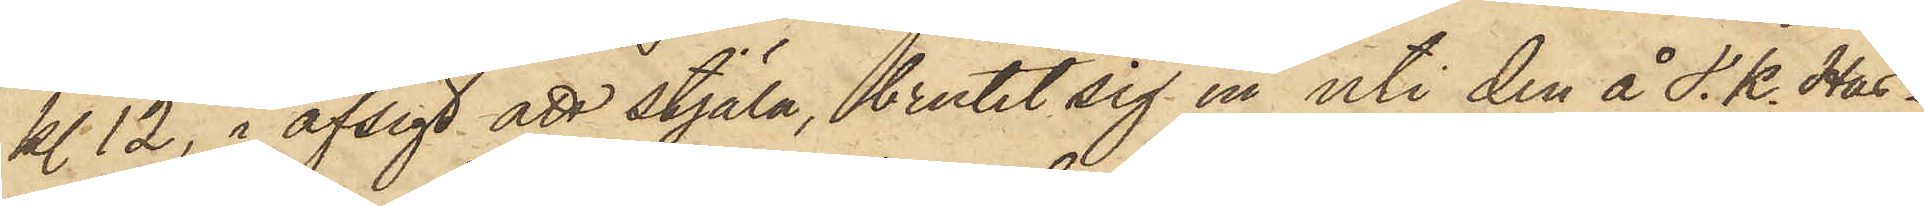kl. 12, i afsigt att stjäla, brutit sig in uti den å s. k. Has¬
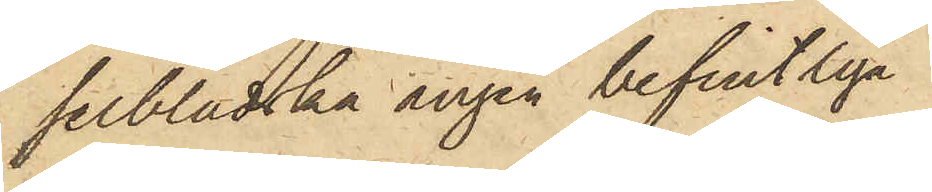selbladska ängen befintliga
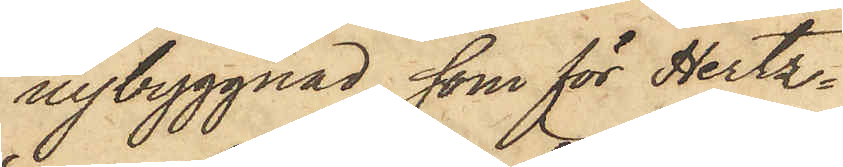nybyggnad, som för Hertz¬
